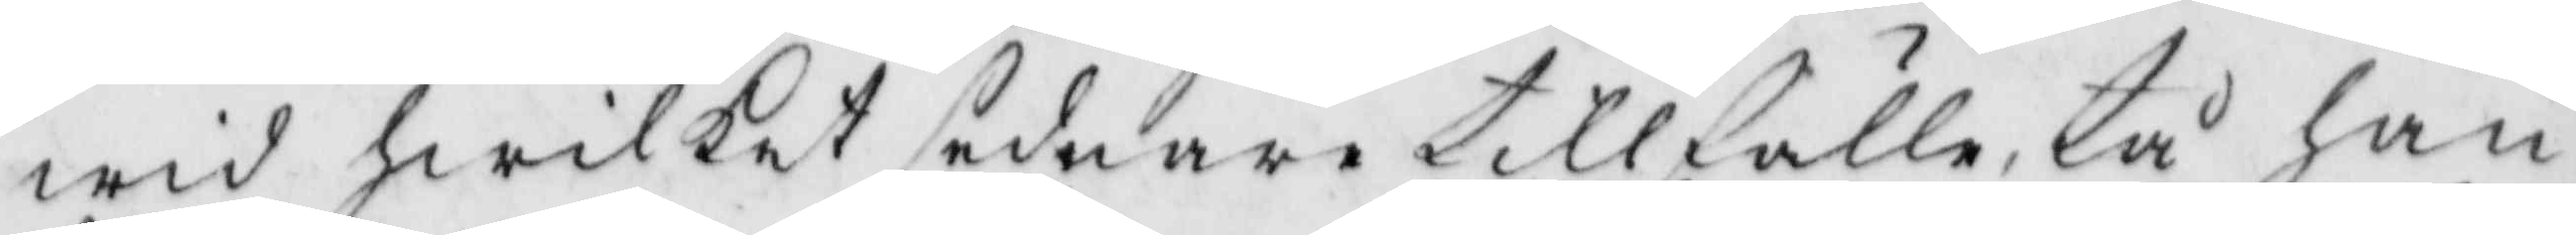wid hwilket sednare tillfälle, tå han
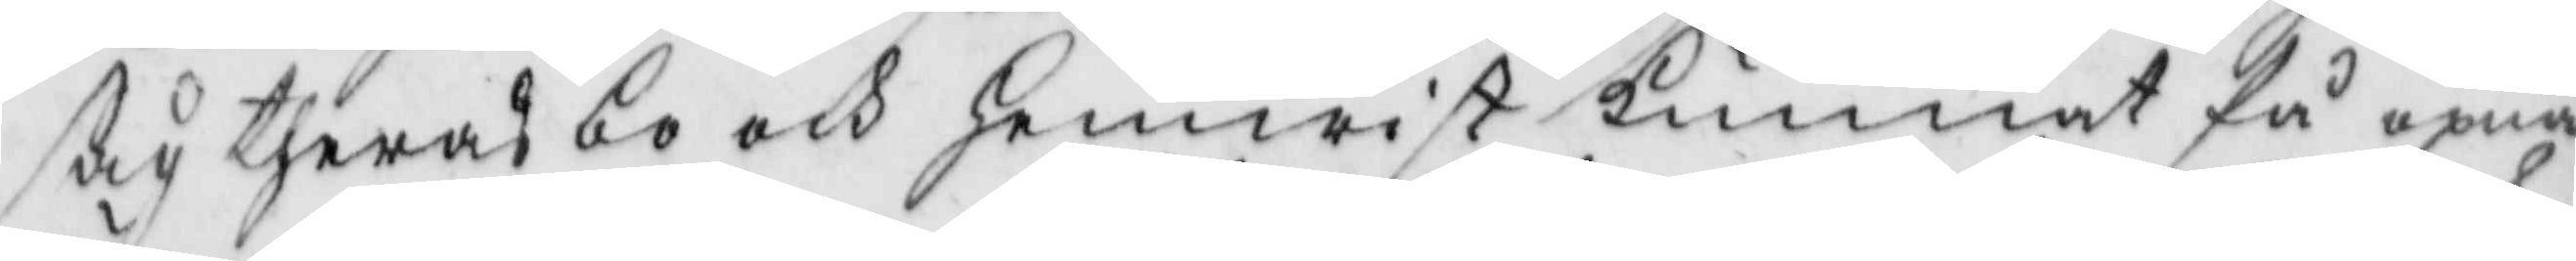såg theras bo och hemwist kunnat få öpna
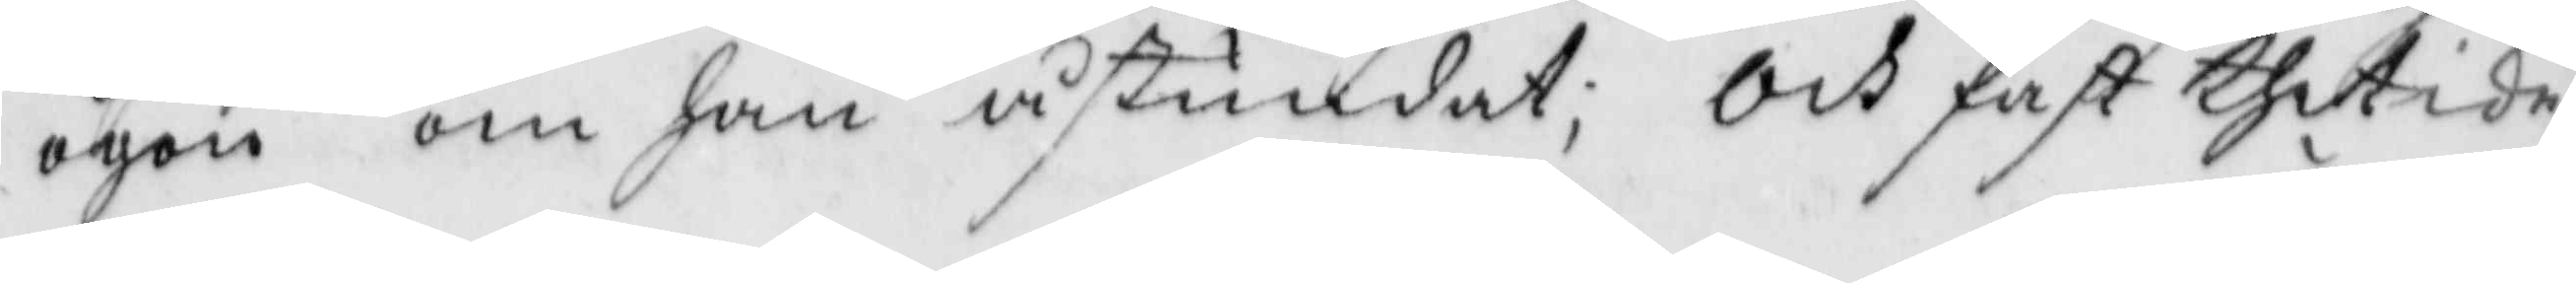ögon om han åstundat, och fast thet icke
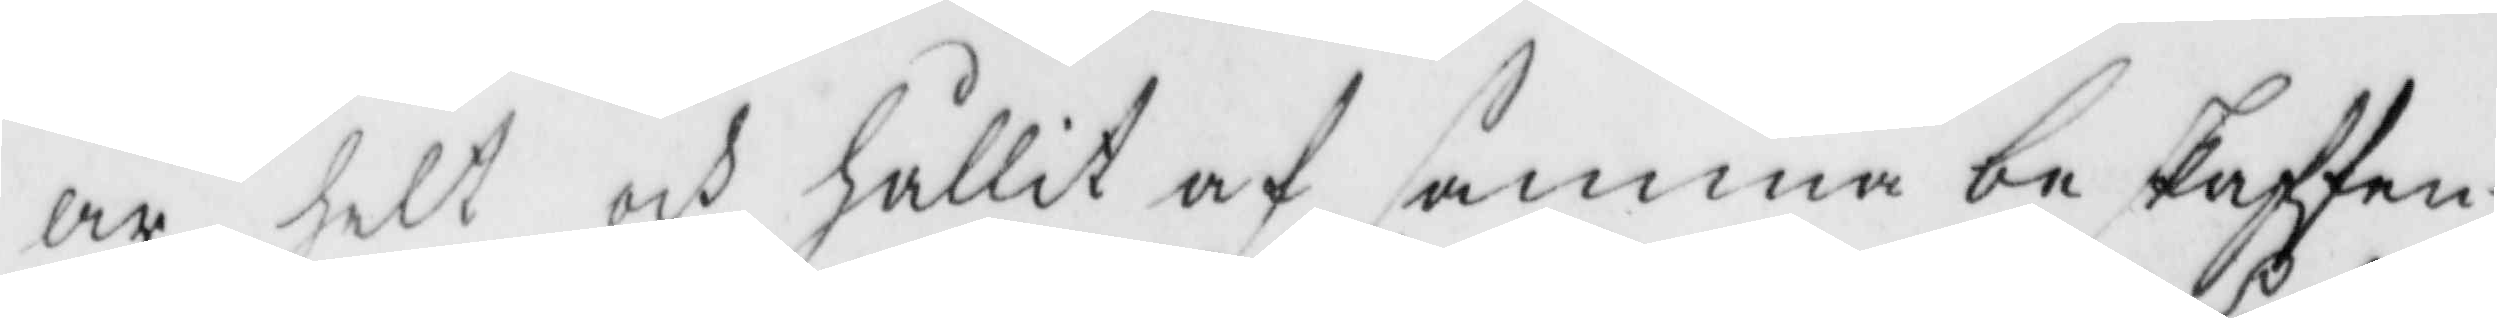är helt och hållit af samma beskaffen¬
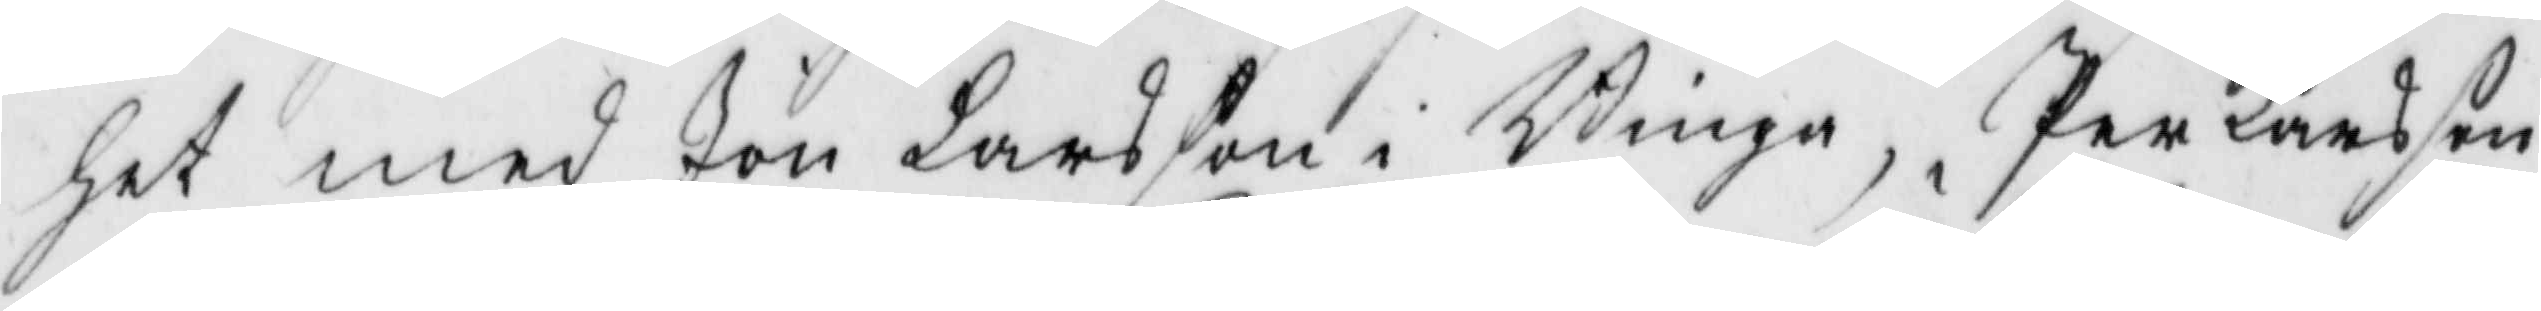het med Jon Larsson i Binga, Per Larsson
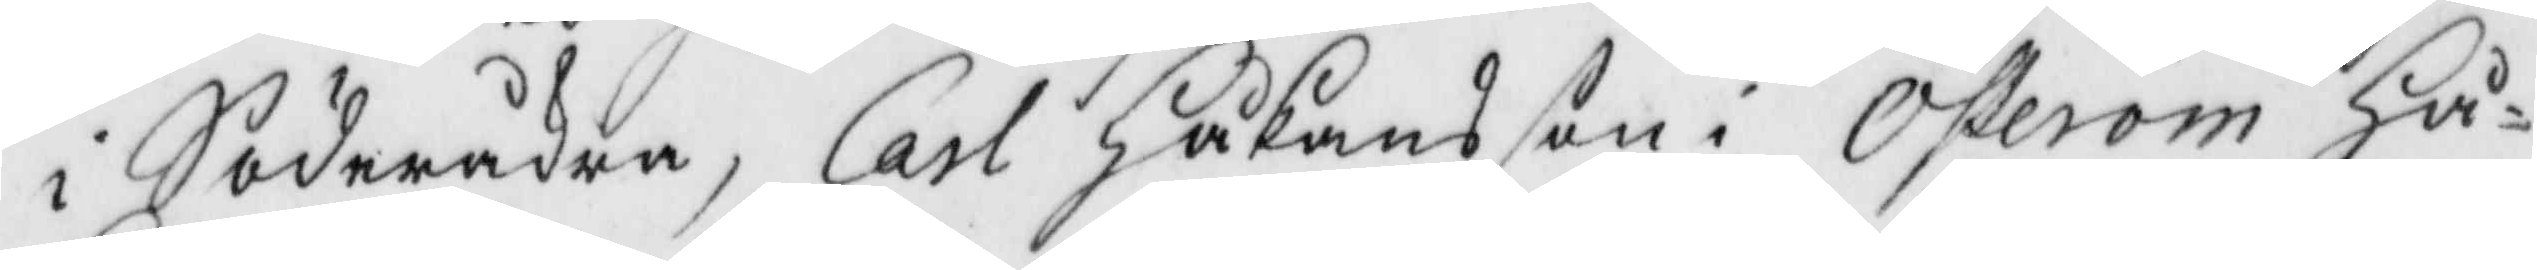i Söderåkra, Carl Håkansson i Österöm Hå¬
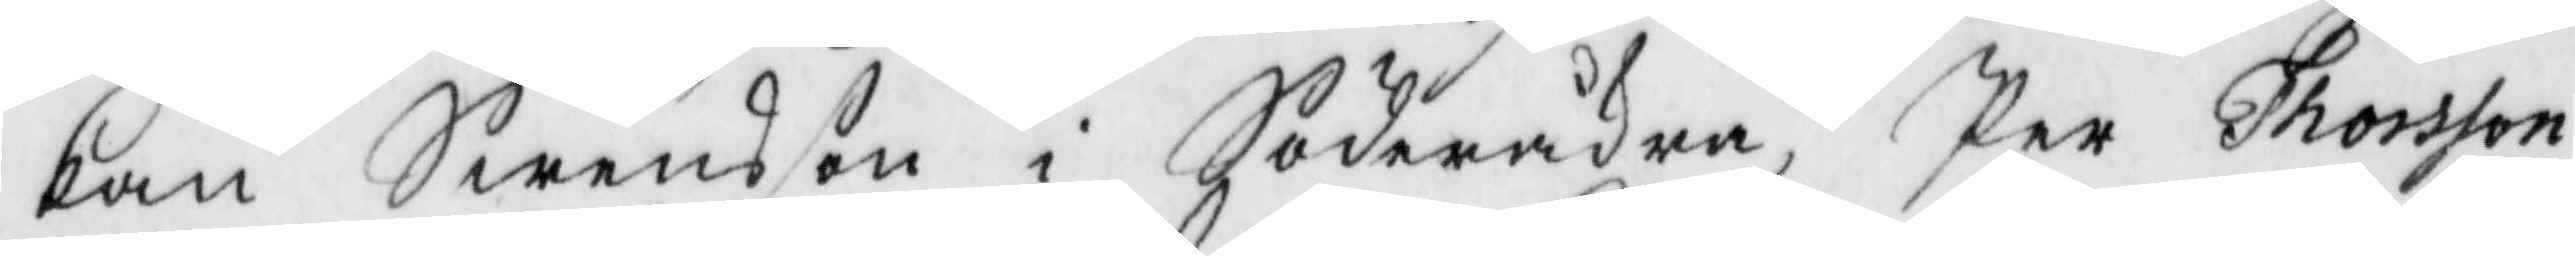kan Swensson i Söderåkra, Per Thorsson
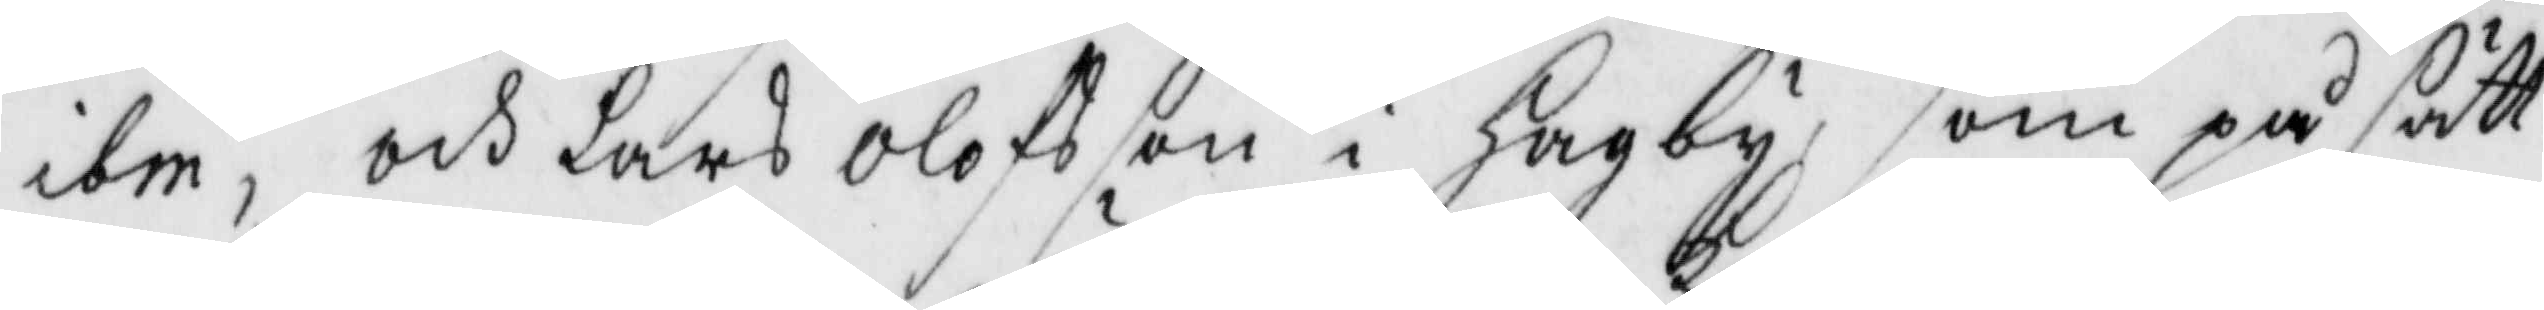ibm, och Lars Olofsson i Hagby, som på sätt
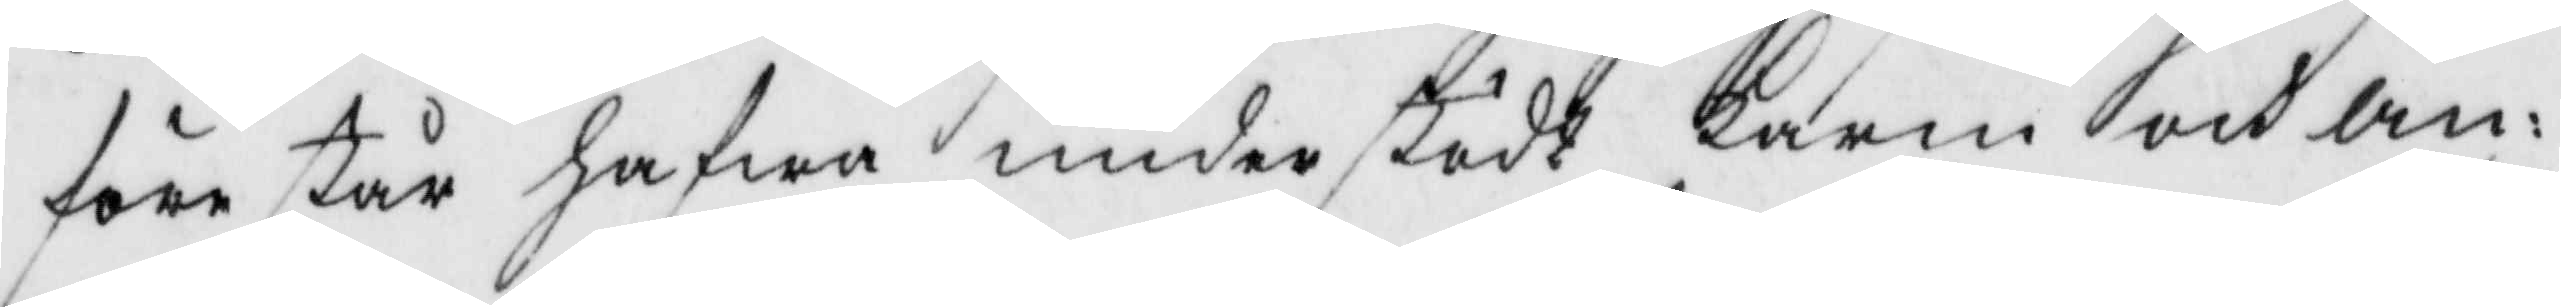förestår hafwa understödt Karin och An¬
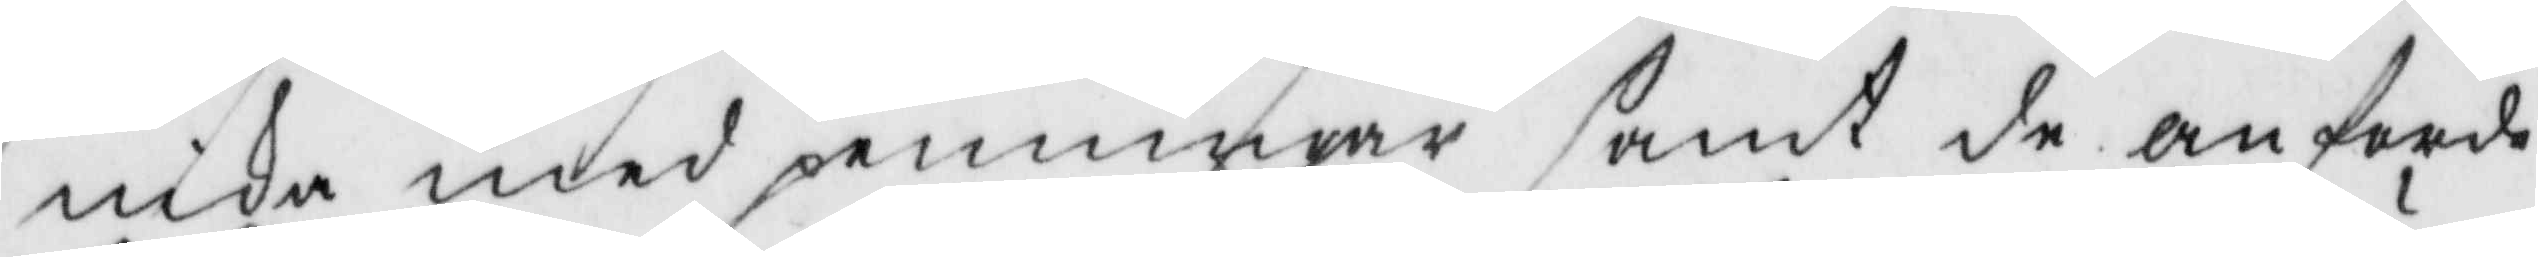nika med penningar samt de anförde
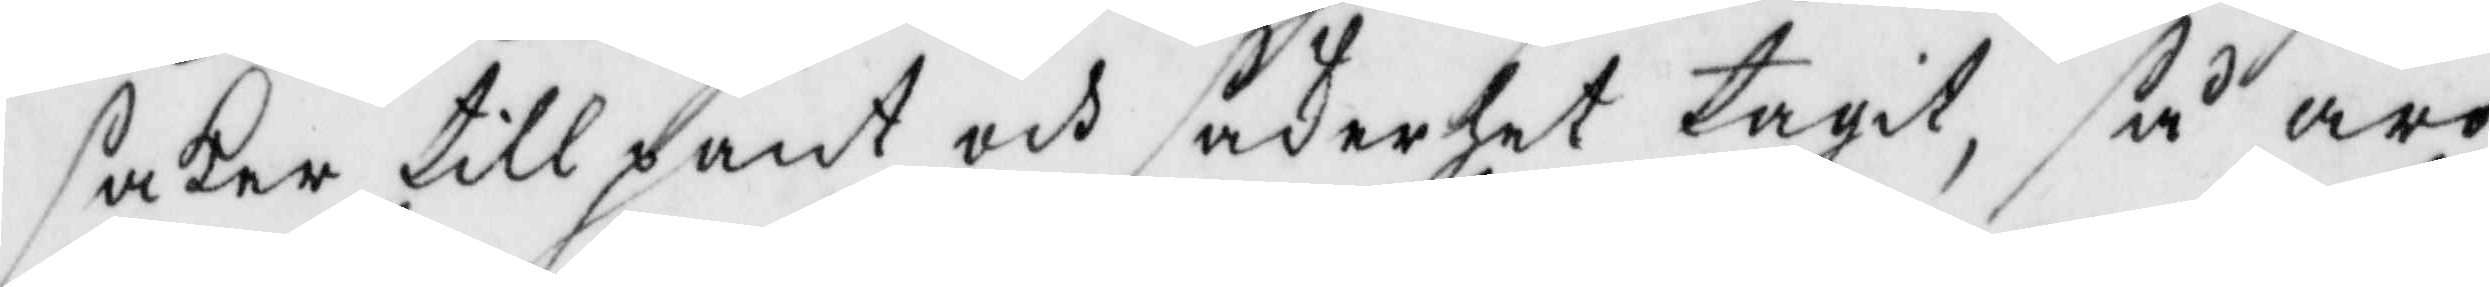saker till pant och säkerhet tagit, så äro
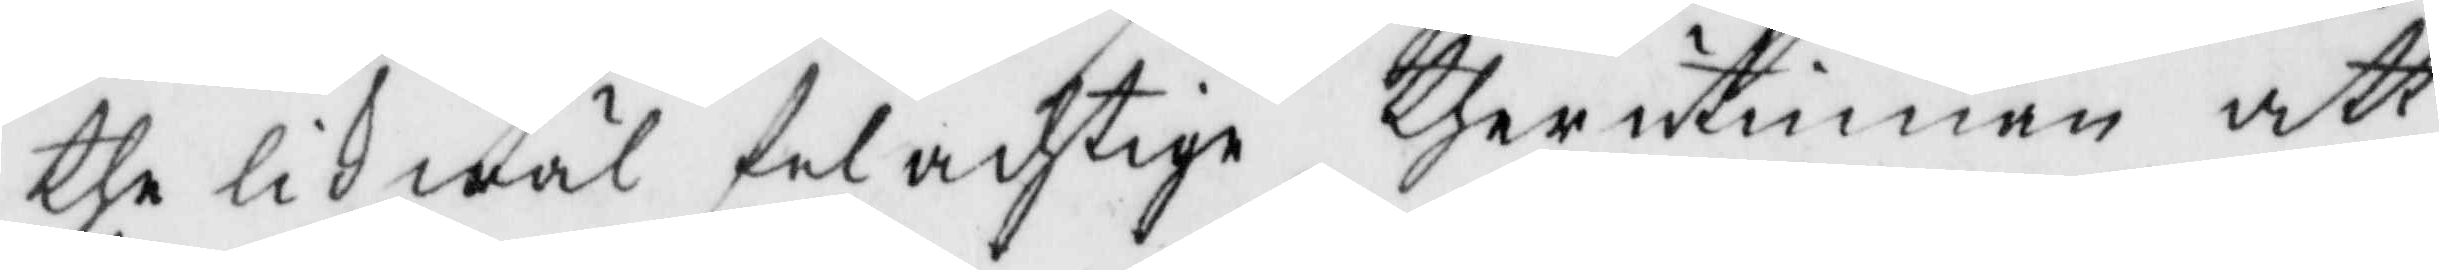the likwäl delachtige therutinnan att
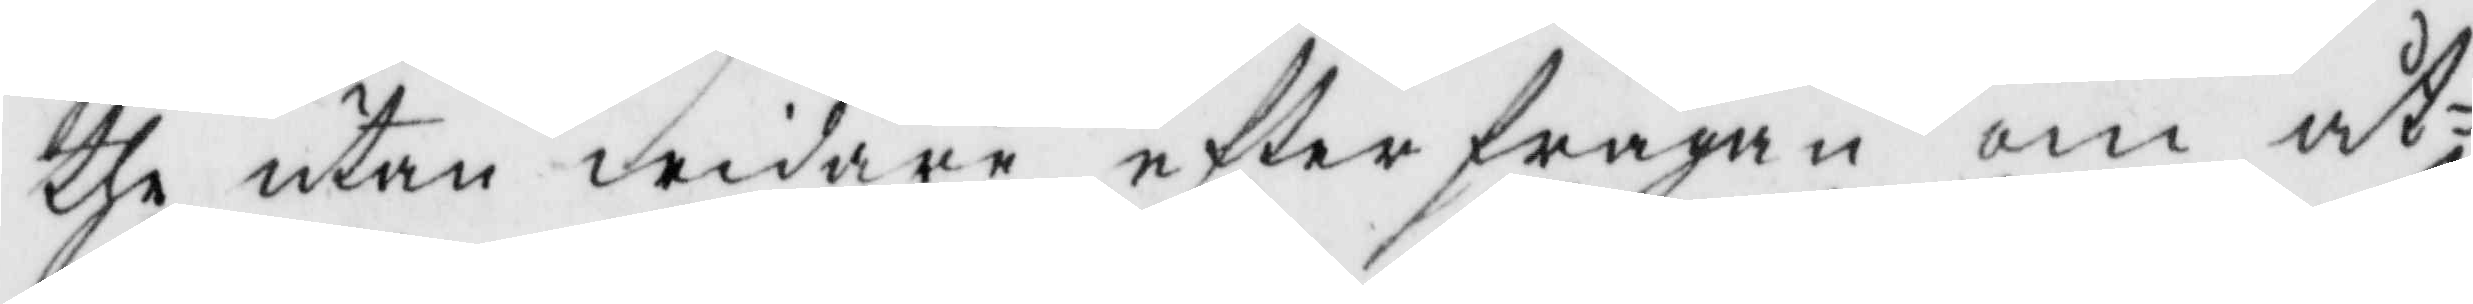the utan widare efterfrågan om åt¬
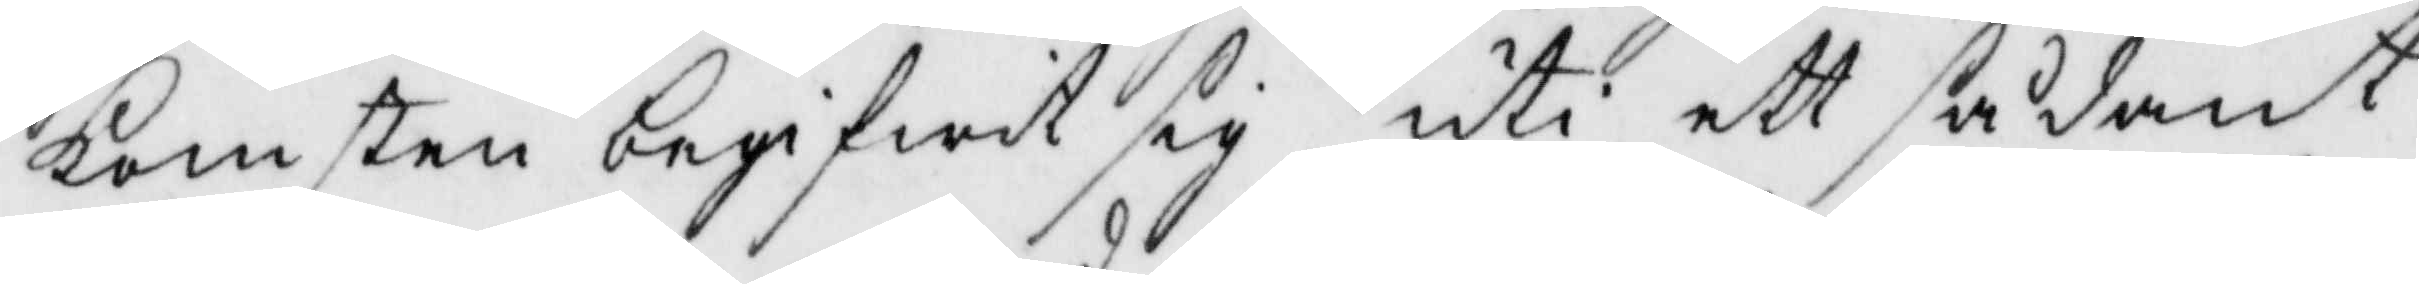komsten begifwit sig uti ett sådant
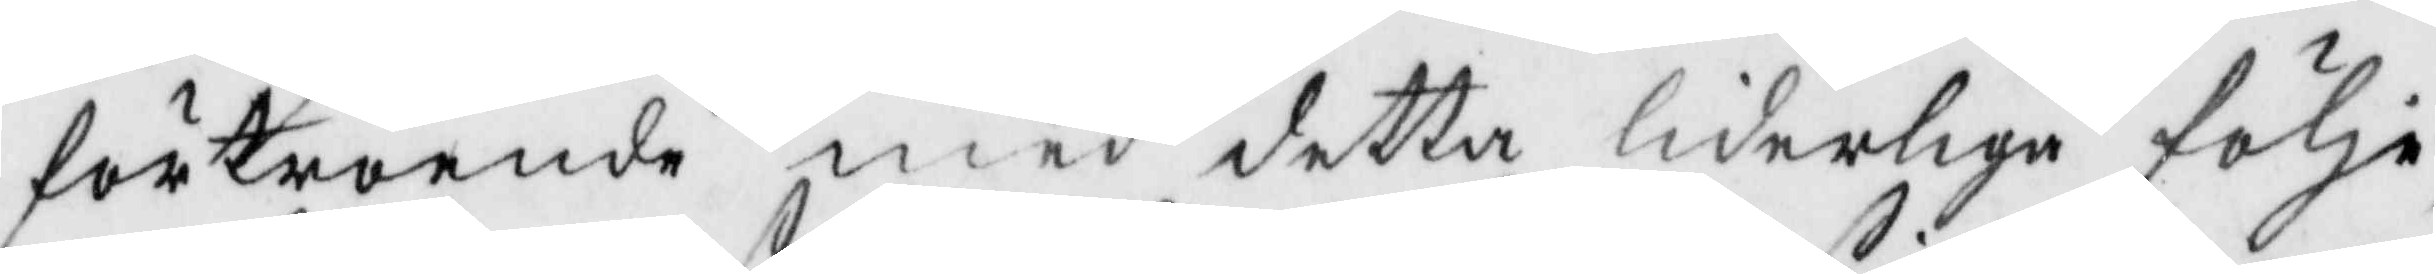förtroende med detta lederliga följe
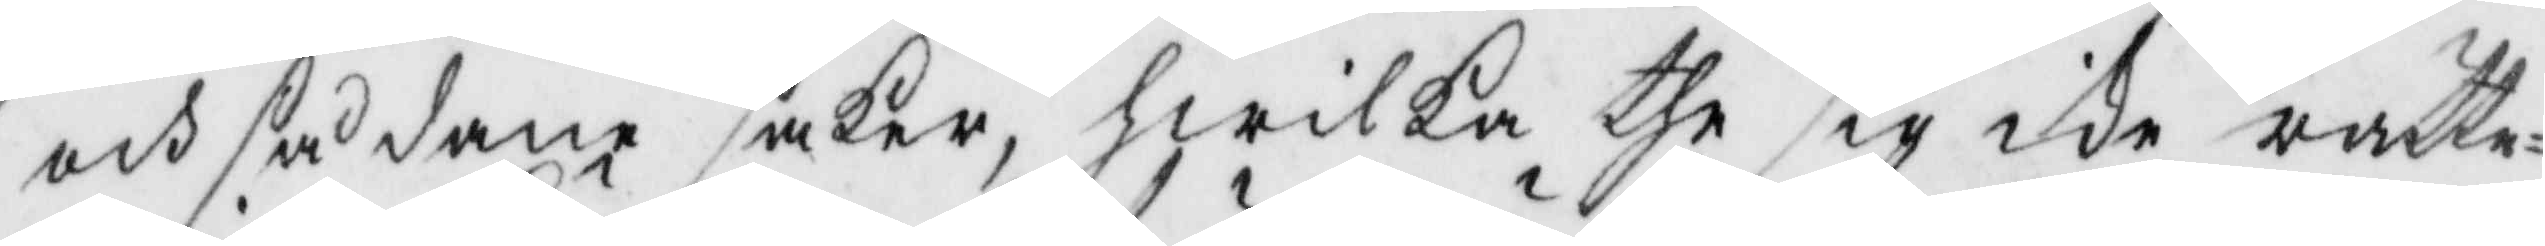och sådane saker, hwilka the sig icke rätte¬
